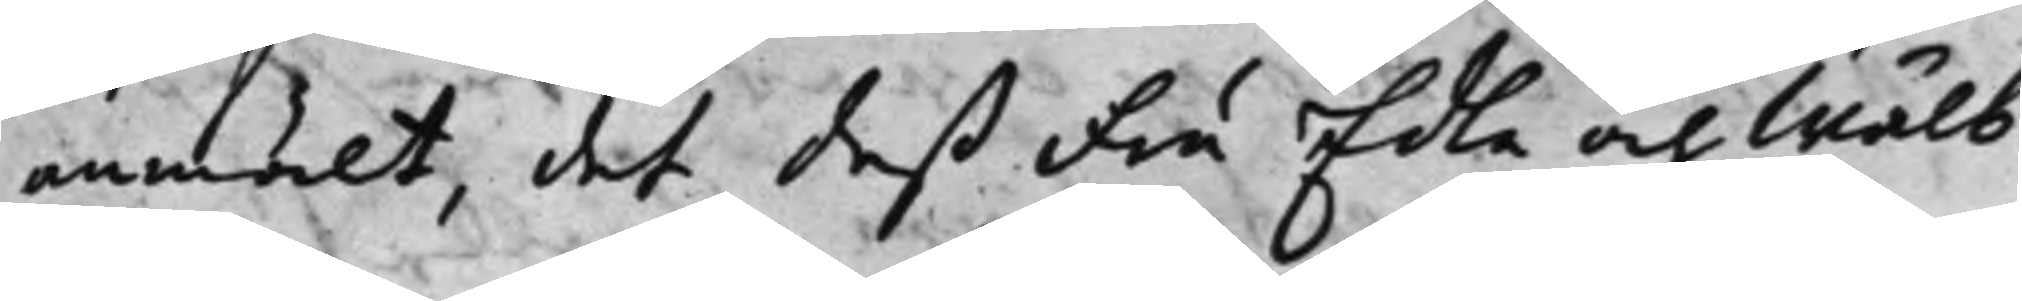anmält, det deß Fru Edla och Wälb.
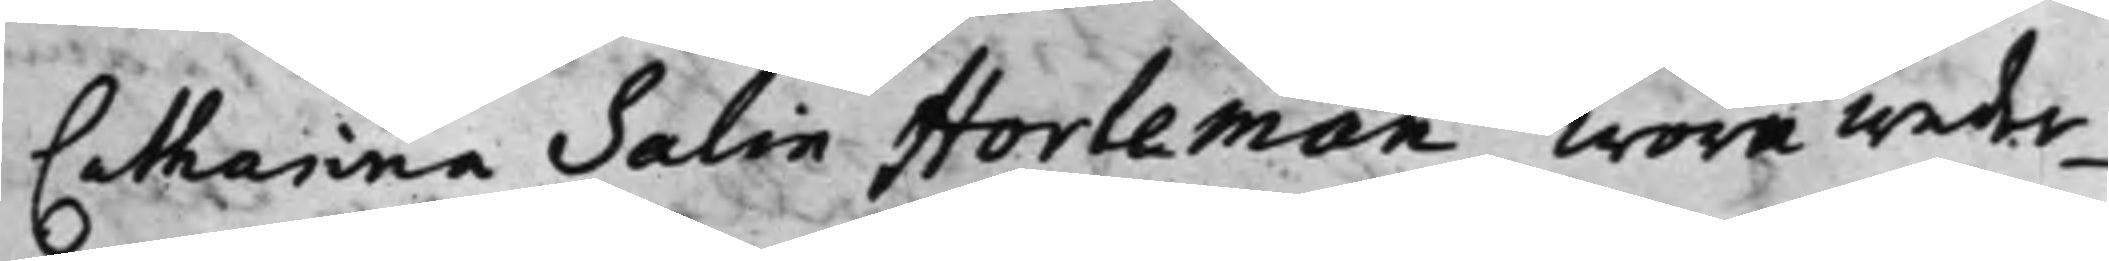Catharina Salin Horleman wore weder¬
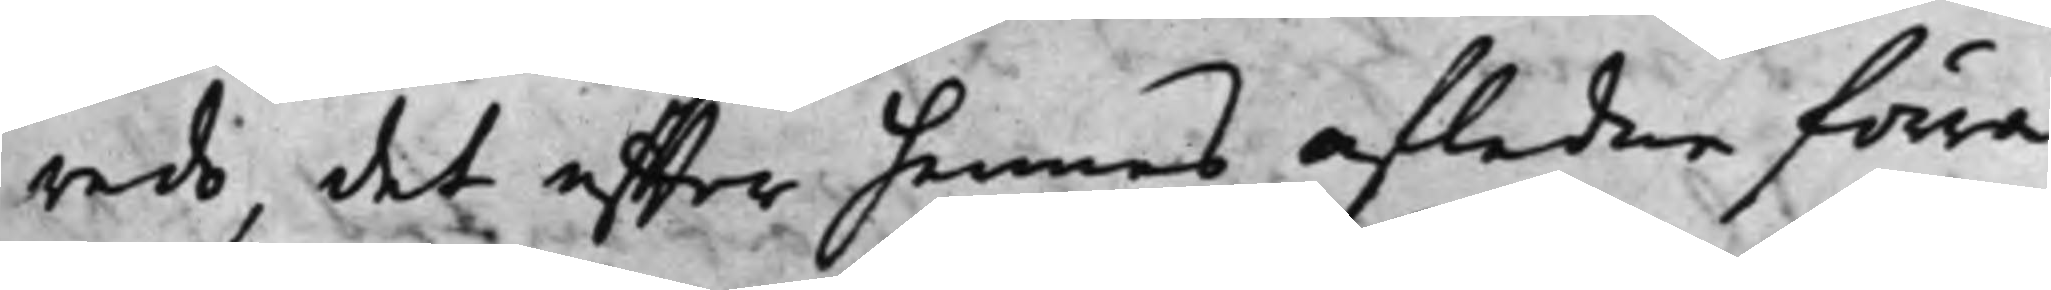redo, det effter hennes afledne förra
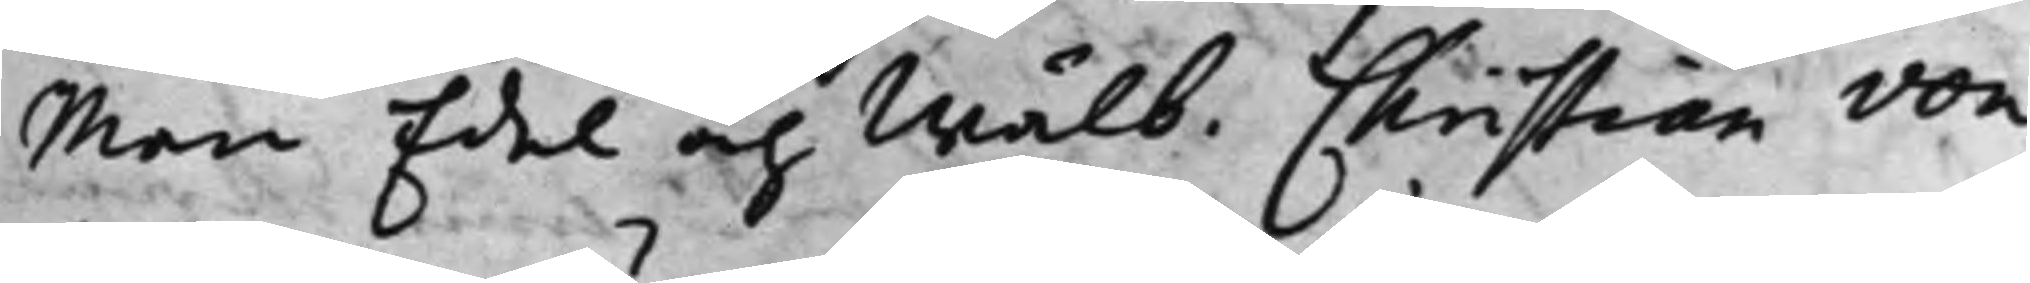Men Edel och Wälb. Christian von 
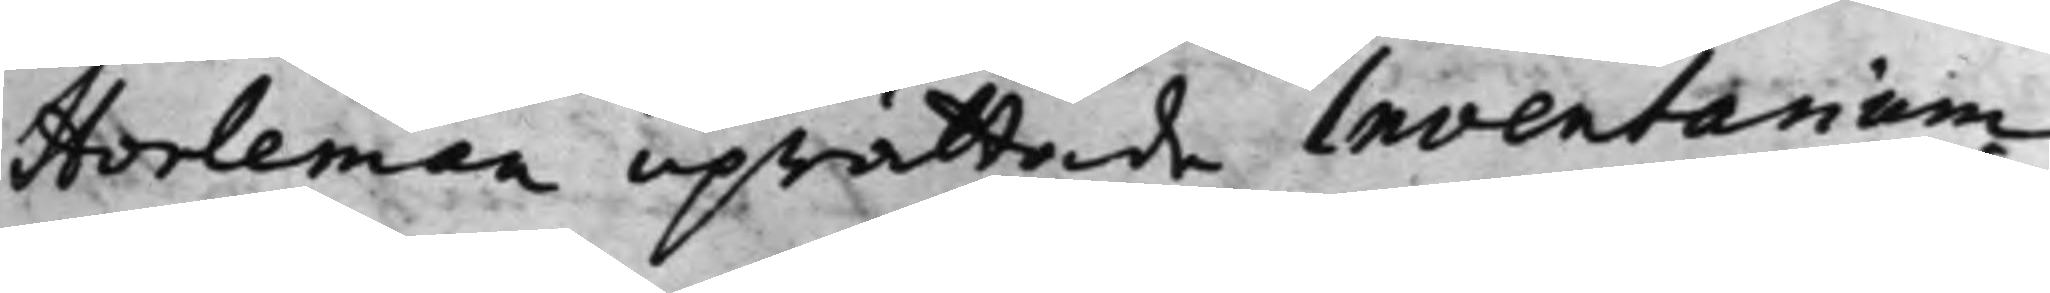Horleman uprättade Inventarium
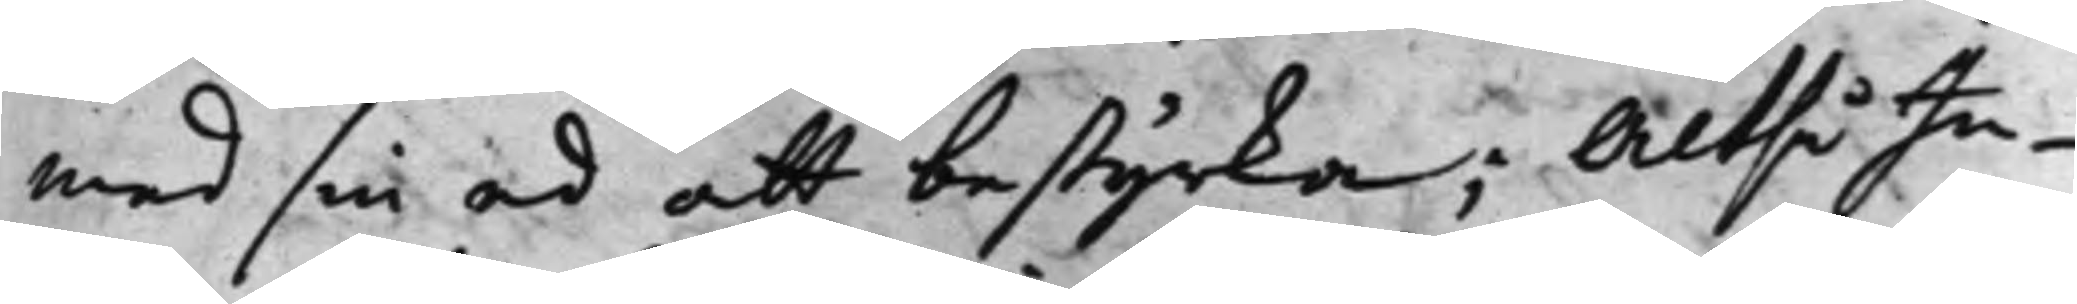med sin ed att bestyrka; Altså In¬
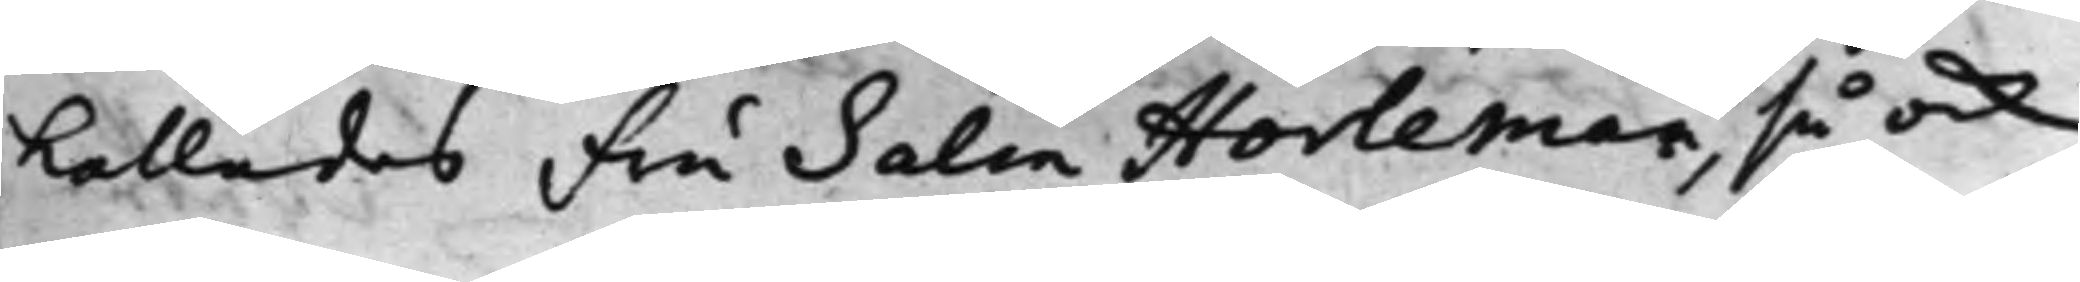kallades Fru Salin Horleman, så ock
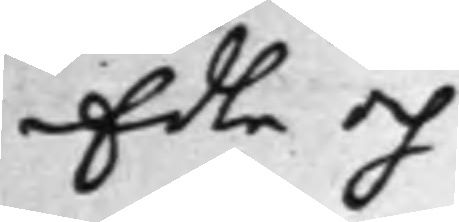Edle och
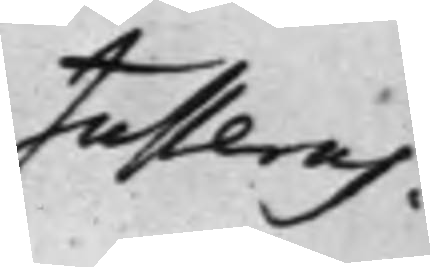Justeras.
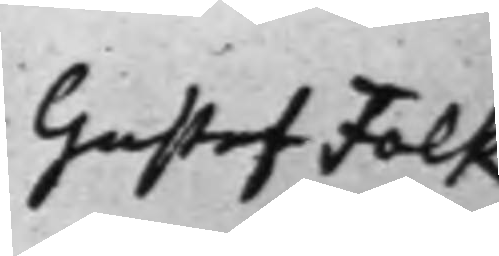Gustaf Falk
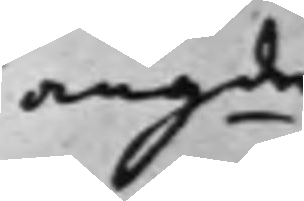angde
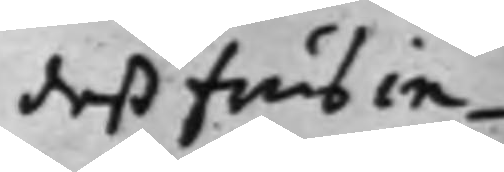deß frus in¬
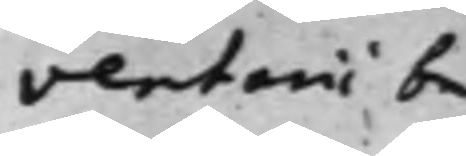ventarii be¬
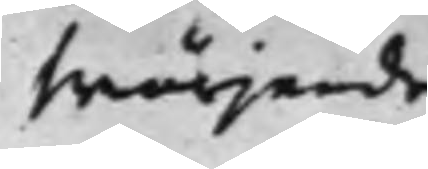swärjande
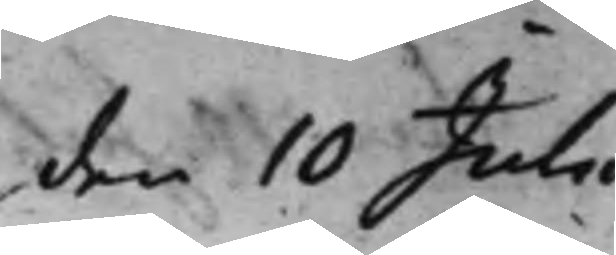den 10 Julii
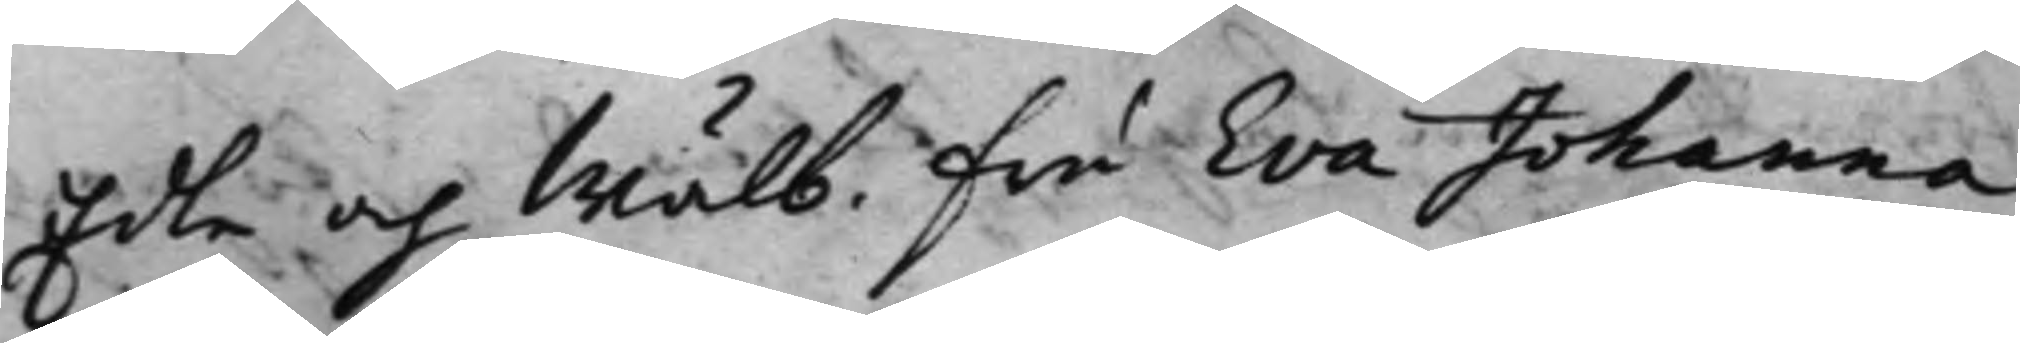Edle och Wälb. fru Eva Johanna
